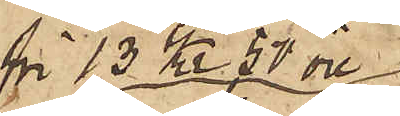för 13 Kr 50 öre
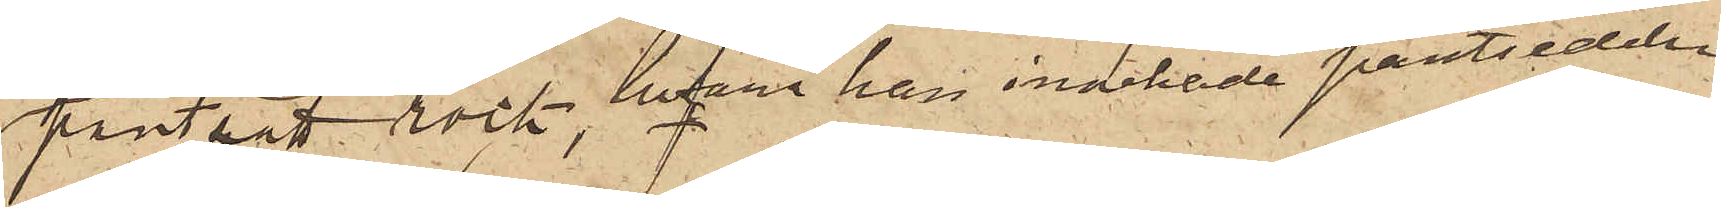pantsatt rock, hvarå han innehade pantsedeln.
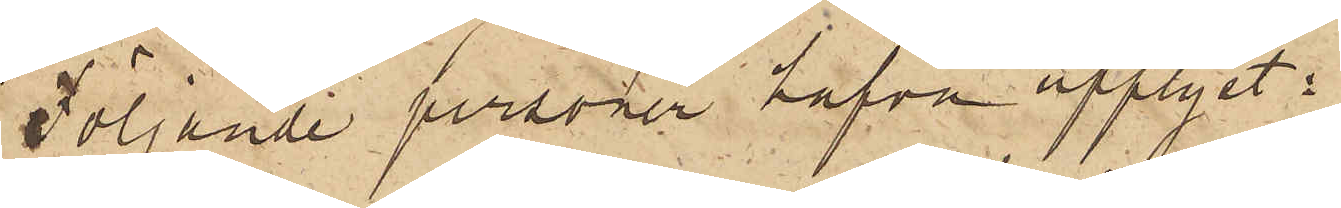Följande personer hafva upplyst:
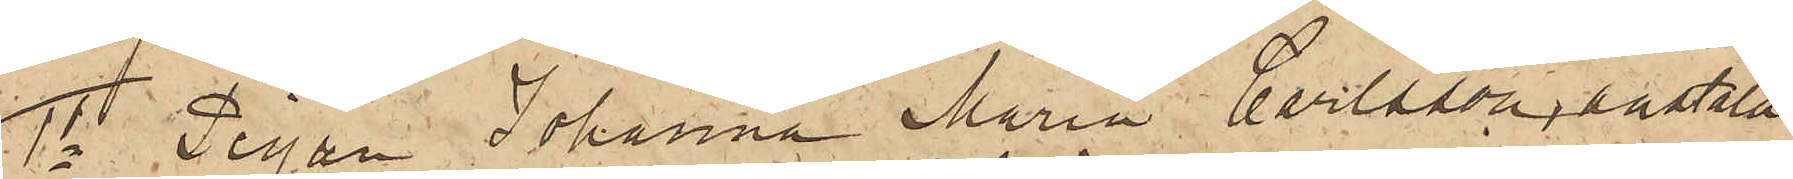1o Pigan Johanna Maria Carlsson, anstäld
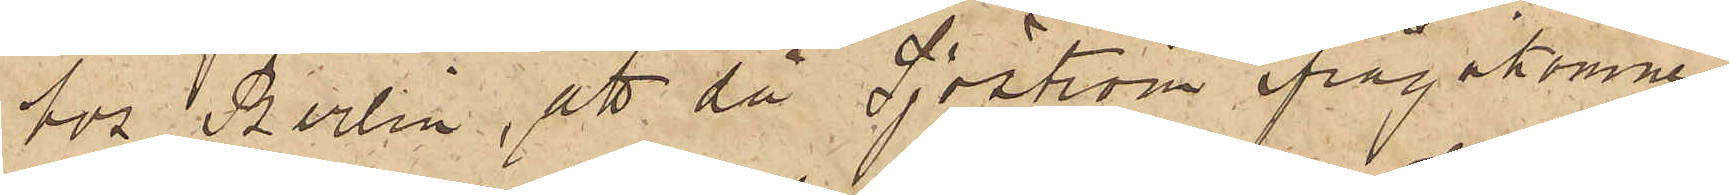hos Berlin, att då Sjöström ifrågakomne
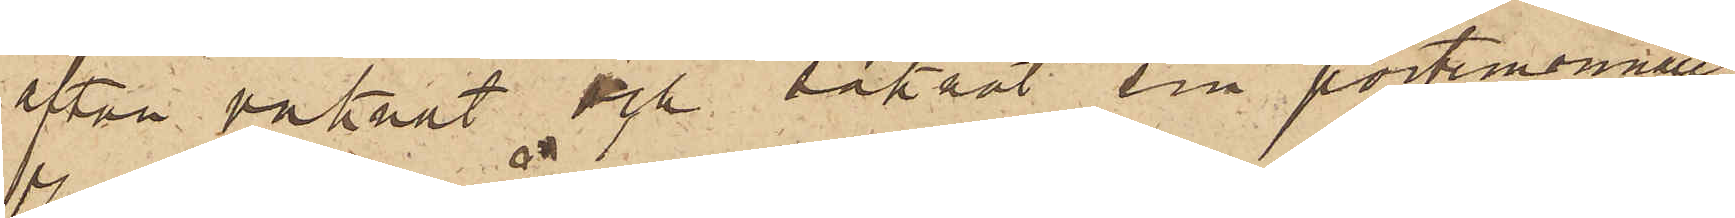afton vaknat och saknat sin portemonnaie,
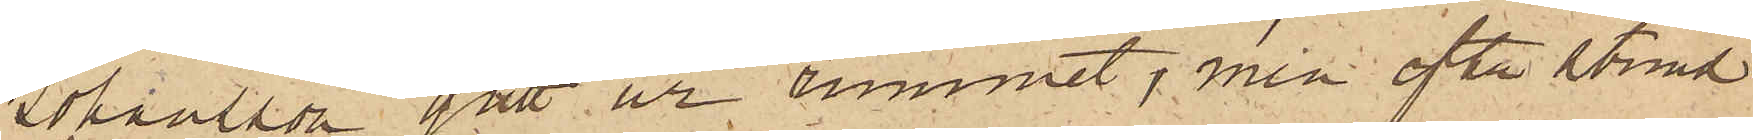Johansson gått ur rummet, men efter stund
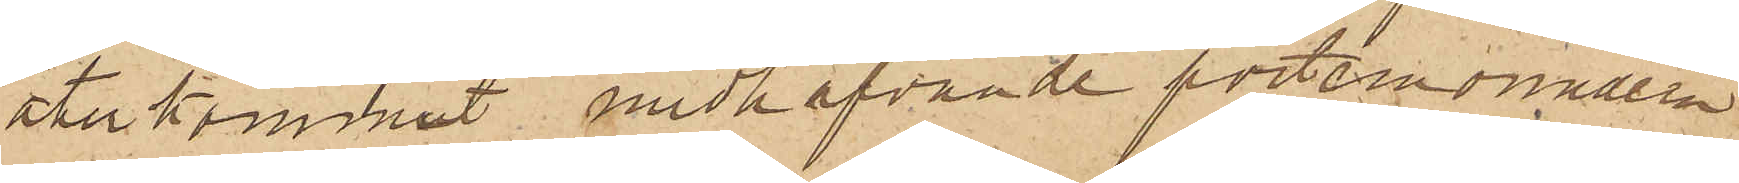återkommit medhafvande portemonnaien
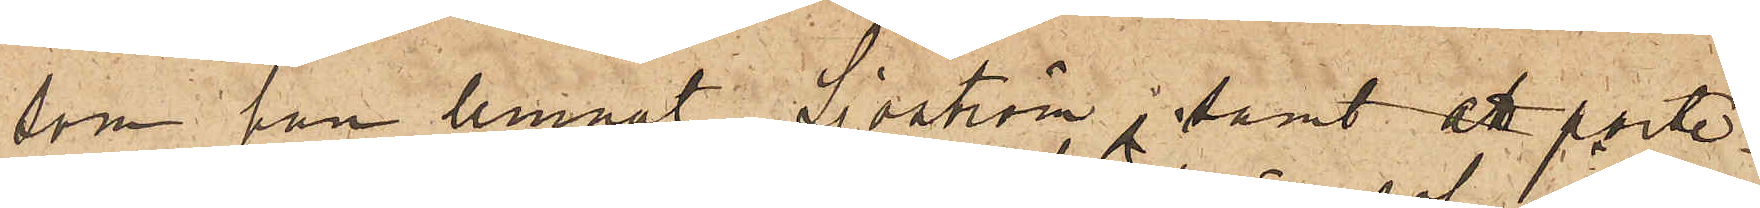som han lemnat Sjöström; samt att porte¬
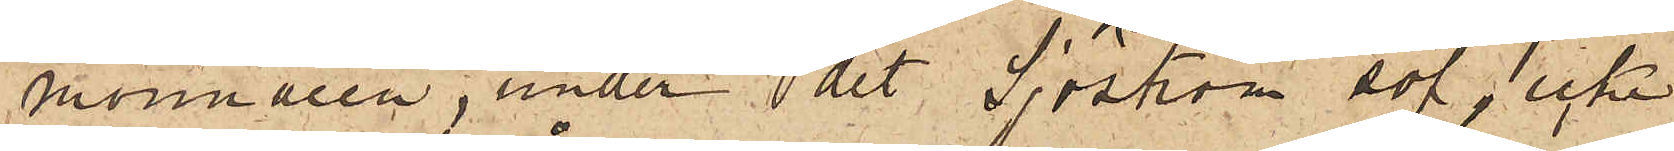monnaien, under det Sjöström sof, icke
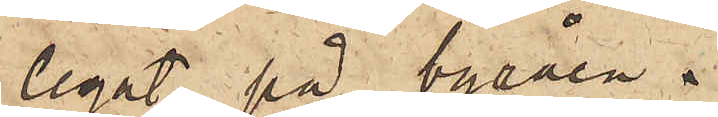legat på byråen.
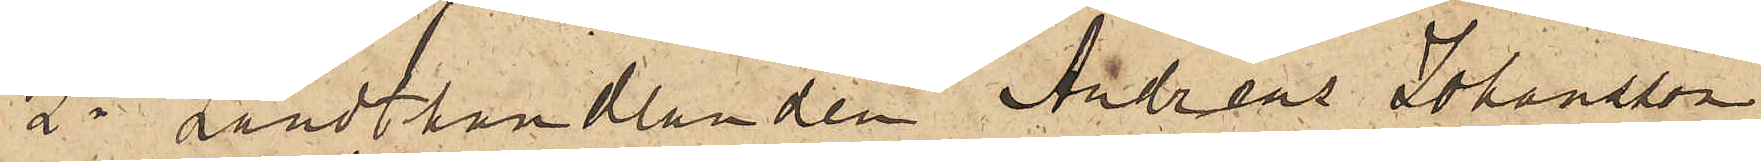2o Landthandlanden Andreas Johansson
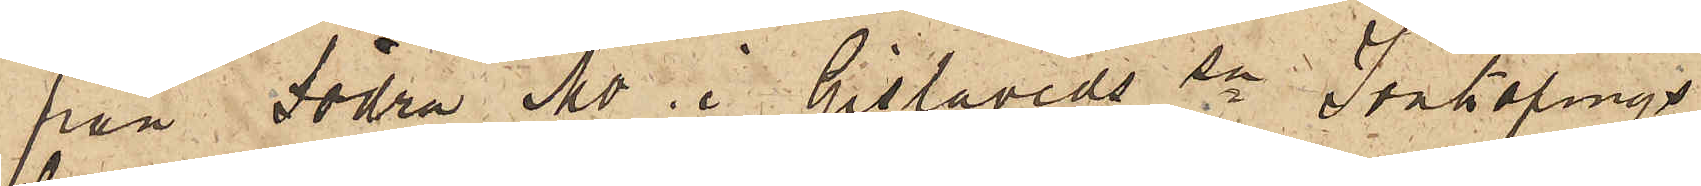från Södra Mo i Gislaveds sn Jönköpings
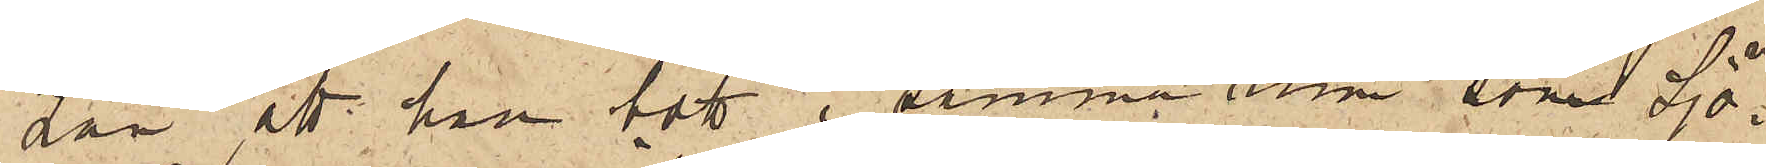Län, att han bott i samma rum som Sjö¬
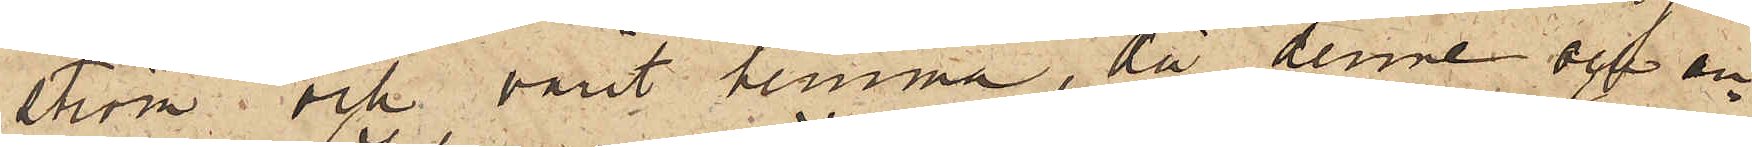ström och varit hemma, då denne och an¬
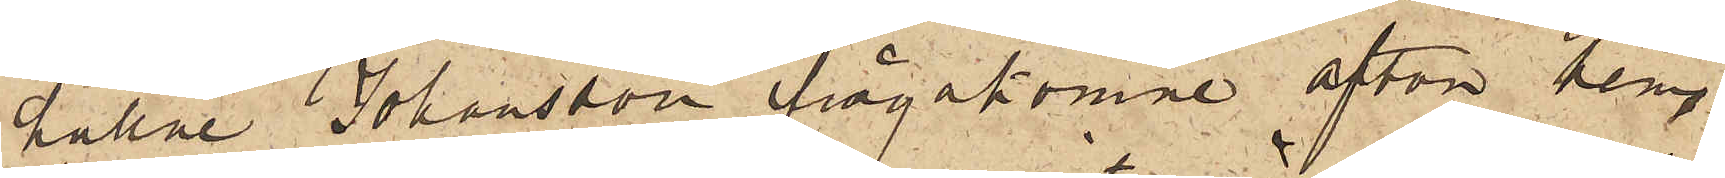hållne Johansson ifrågakomne afton hem¬
